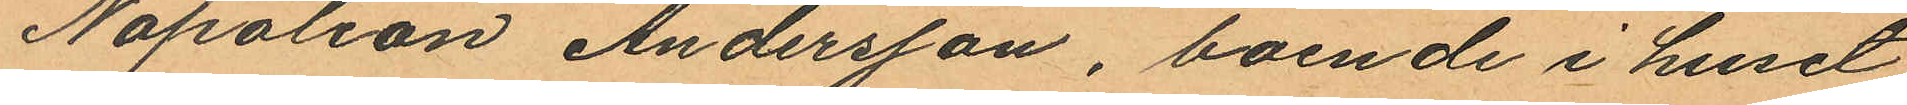Napoleon Andersson, boende i huset
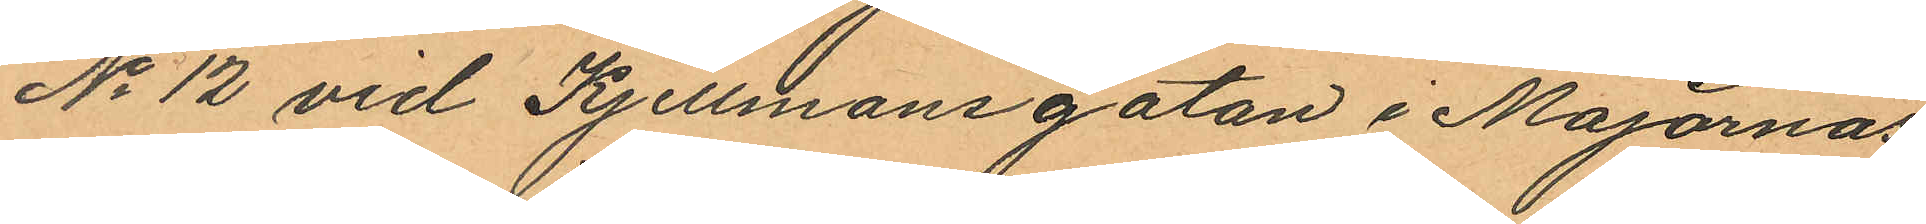No 12 vid Kjellmansgatan i Majornas
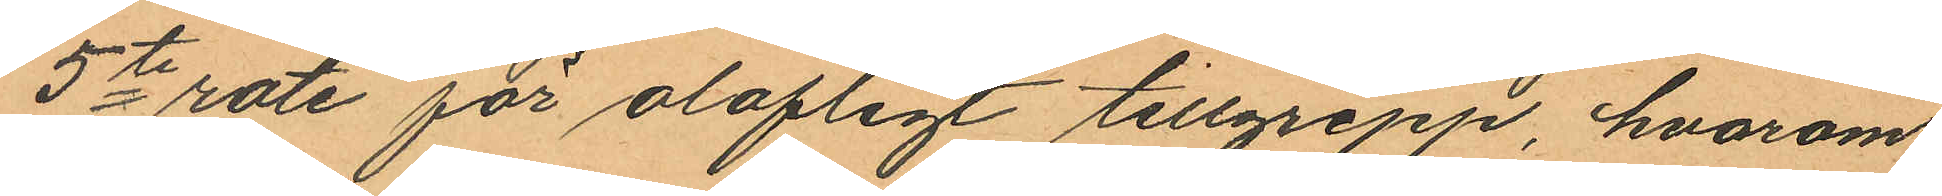5te rote för olofligt tillgrepp, hvarom
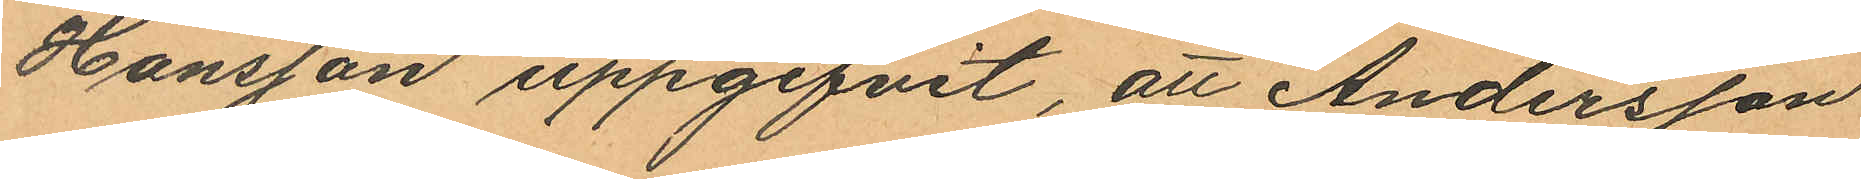Hansson uppgifvit, att Andersson
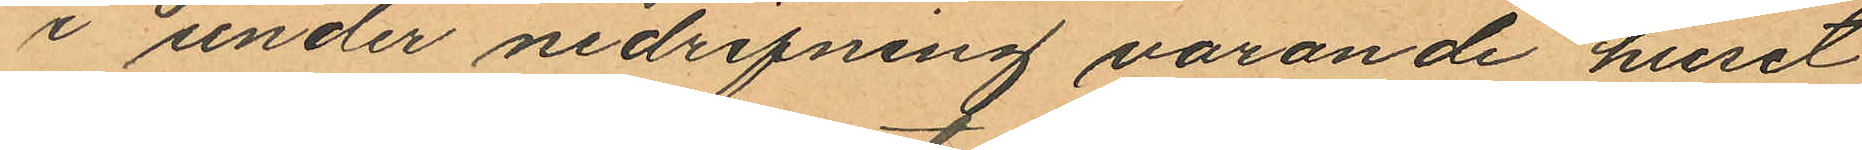i under nedrifning varande huset
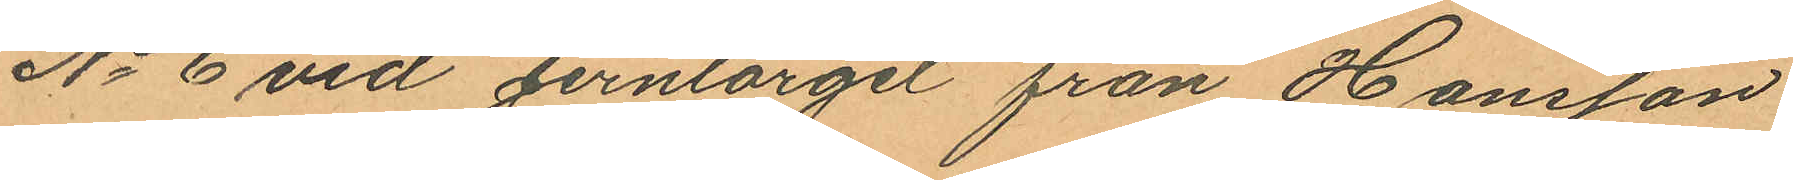No 6 vid Jerntorget från Hansson
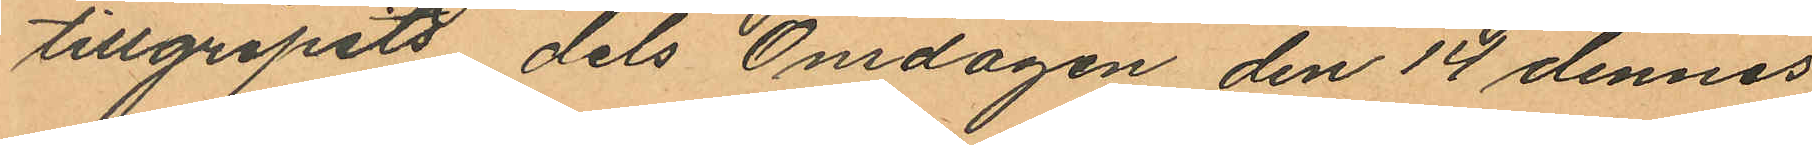tillgripits dels Onsdagen den 14 dennes
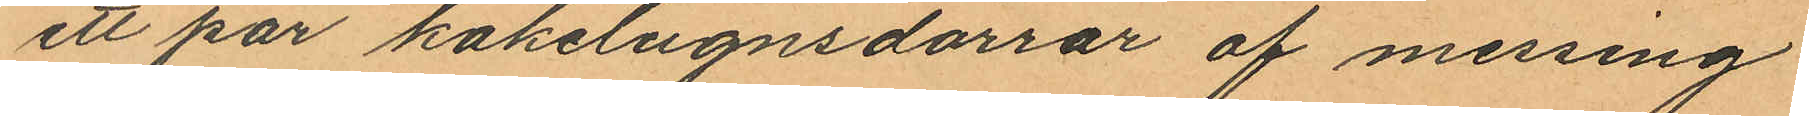ett par kakelugnsdörrar af messing
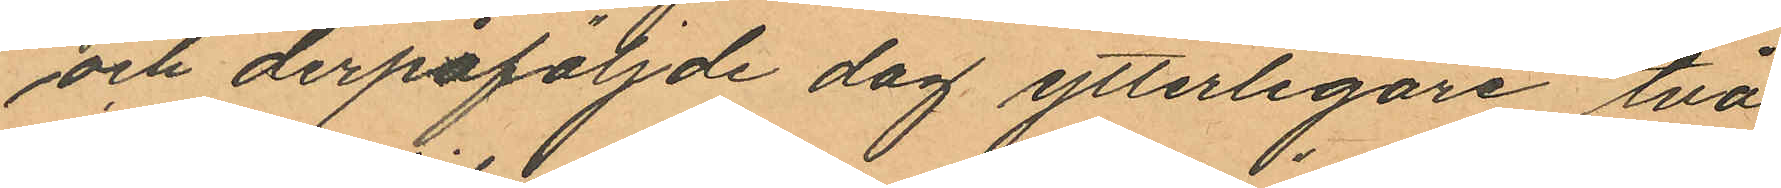och derpåföljde dag ytterligare två
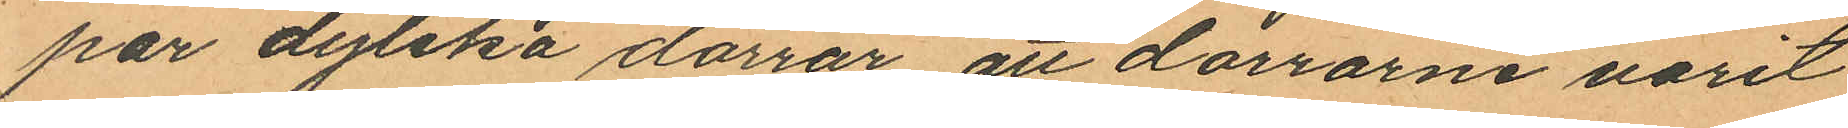par dylika dörrar att dörrarne varit
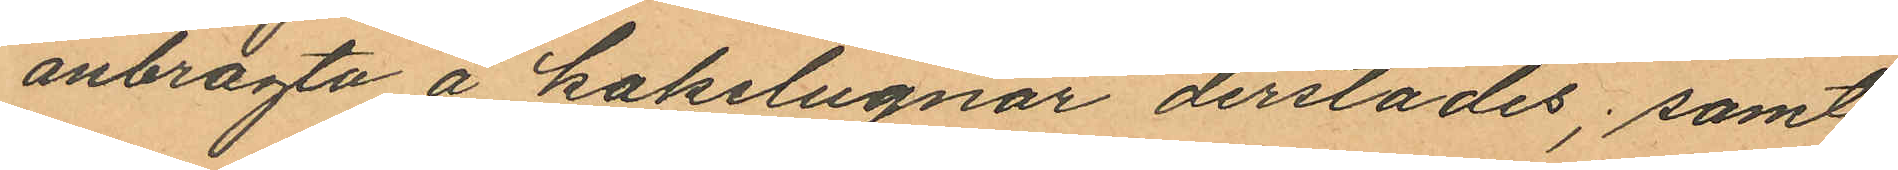anbragta å kakelugnar derstädes; samt
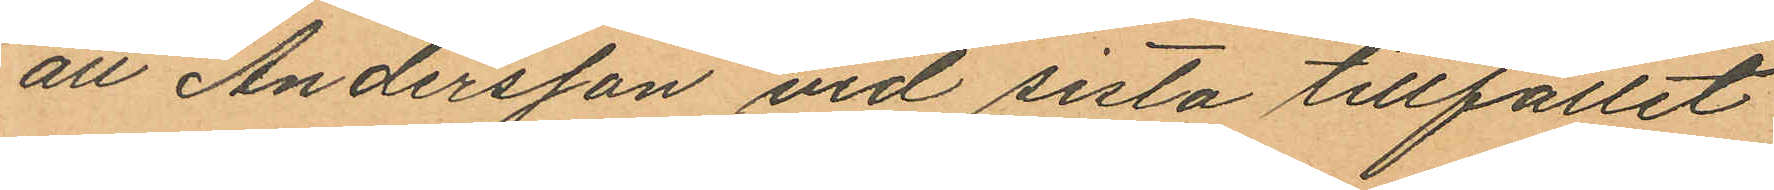att Andersson vid sista tillfället
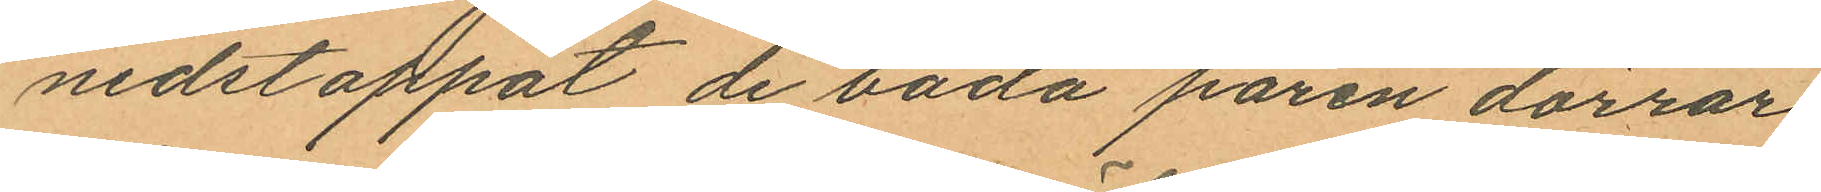nedstoppat de båda paren dörrar
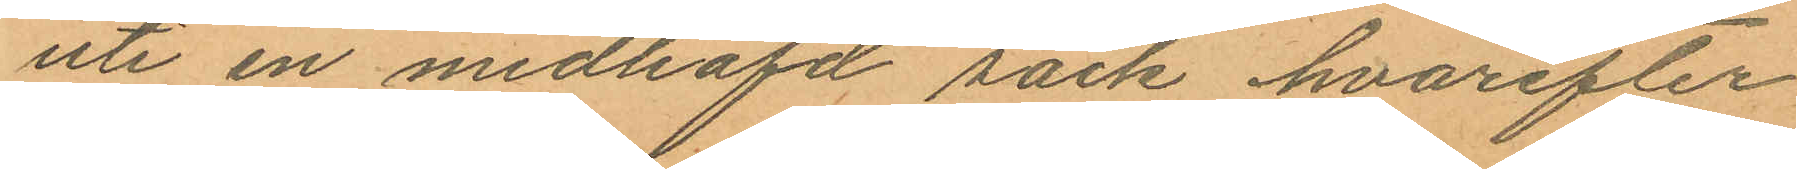uti en medhafd säck hvarefter
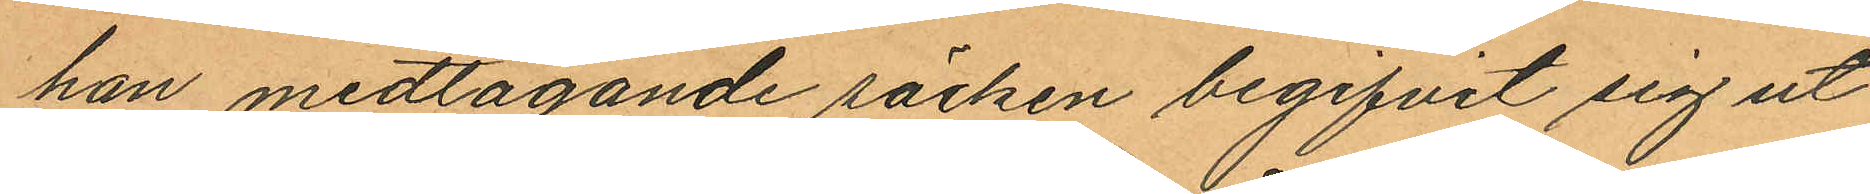han medtagande säcken begifvit sig ut
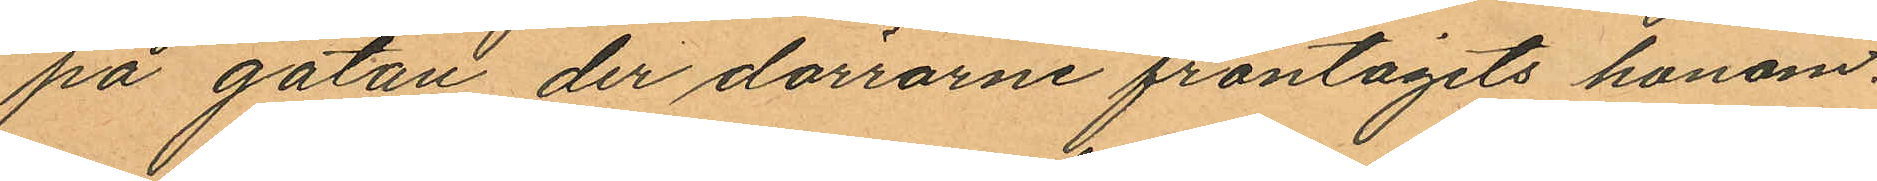på gatan der dörrarne fråntagits honom.
